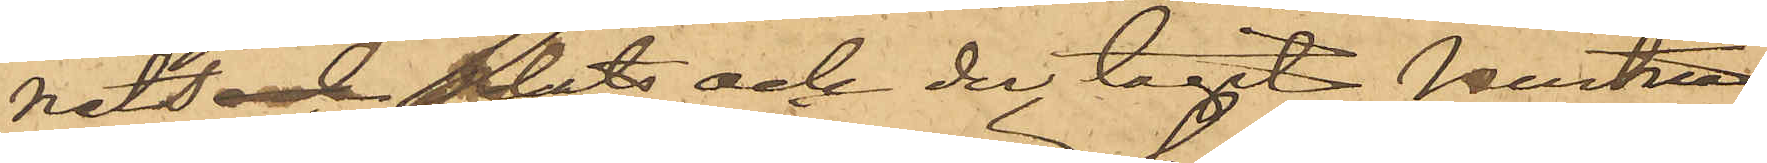nets och plats och der tagit Hustru
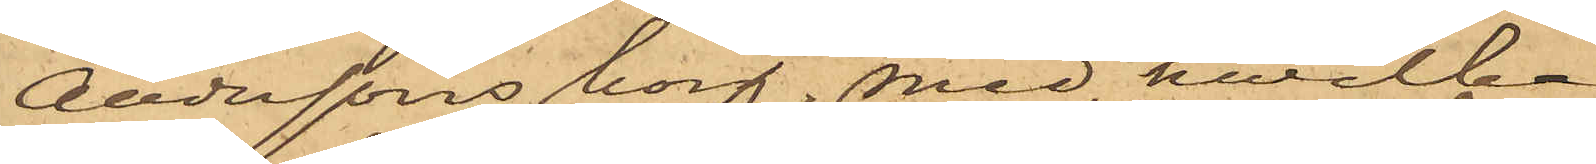Anderssons korg, med hwilken
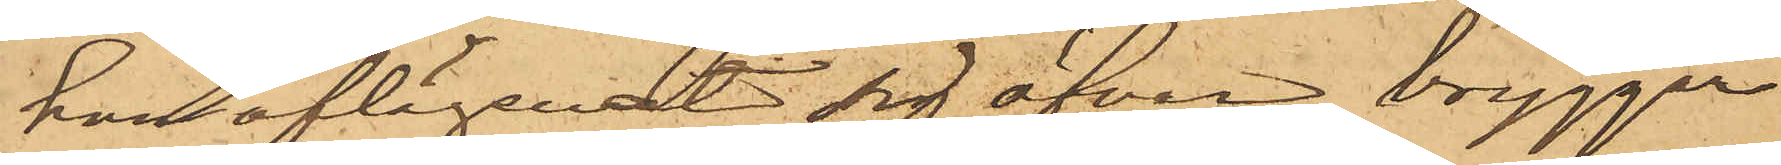han aflägsnadt sig öfver bryggan
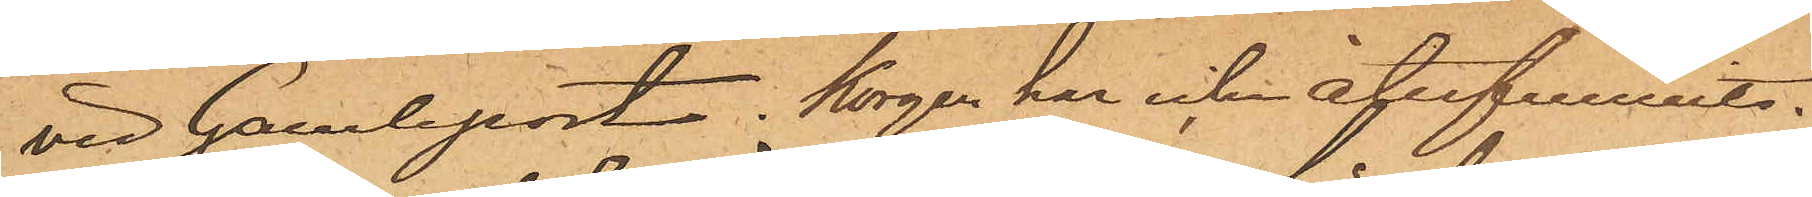vid Gamleport. Korgen har icke åferfunnits.
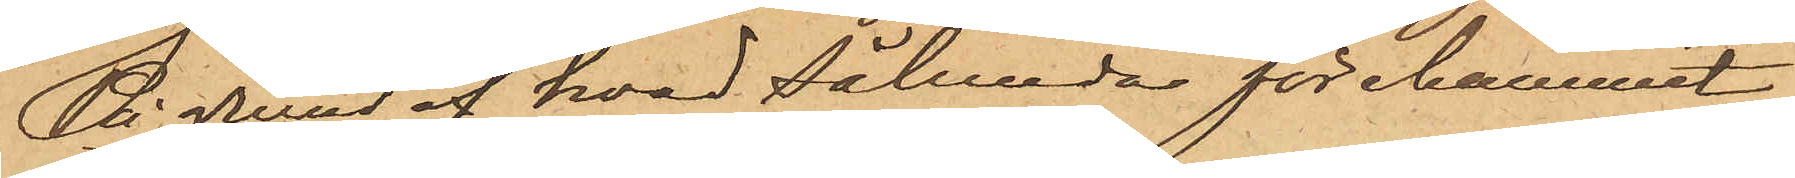På grund af hvad sålunda förekommit
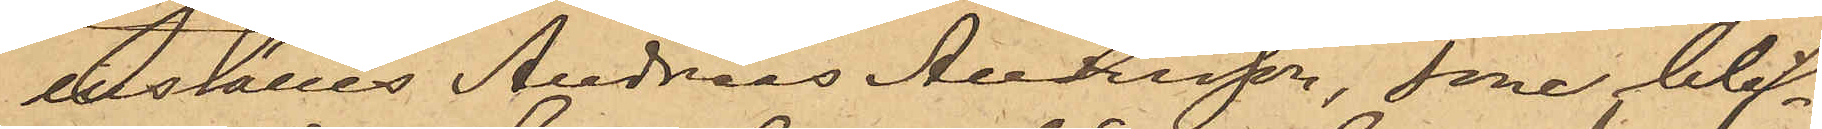inställes Andreas Andersson, som blif¬
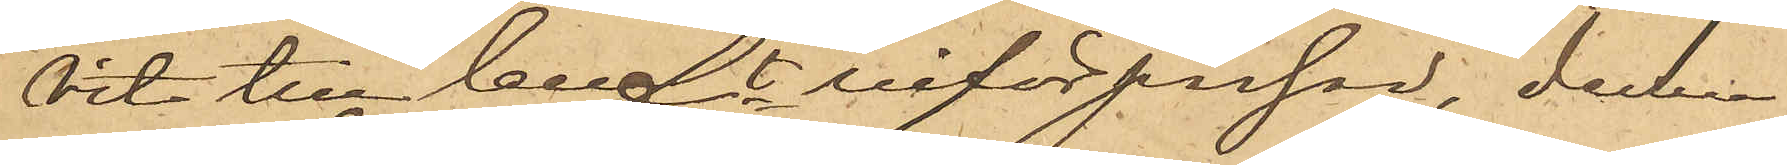vit till Cellft införpassad, denna
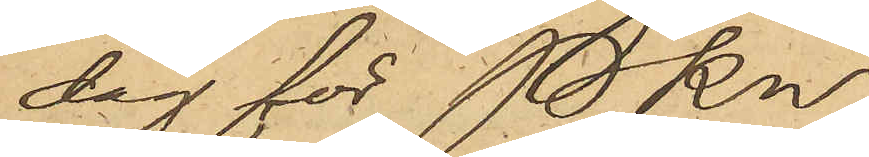dag för Pkn
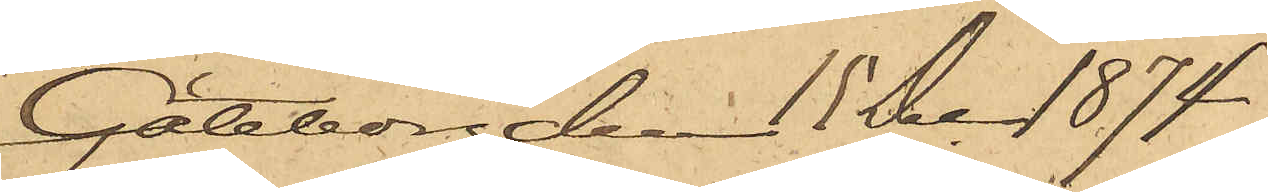Göteborg den 15 Dec 1874.
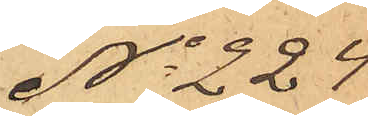No 224
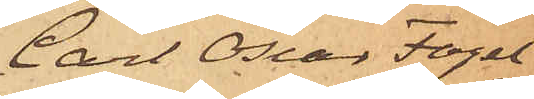Carl Oscar Fogel¬
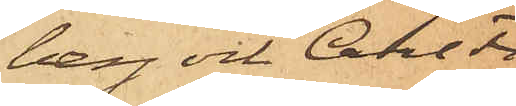berg och Carl Fi¬
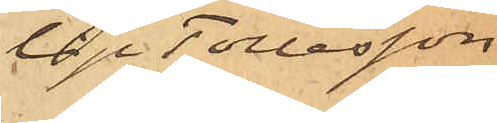lip Tollesson
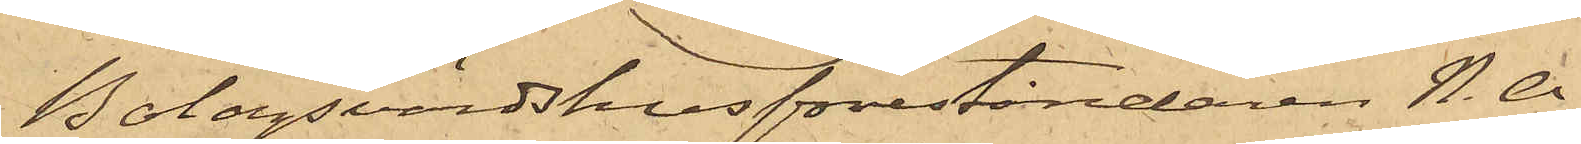Bolagsvärdshusföreståndaren N. A.
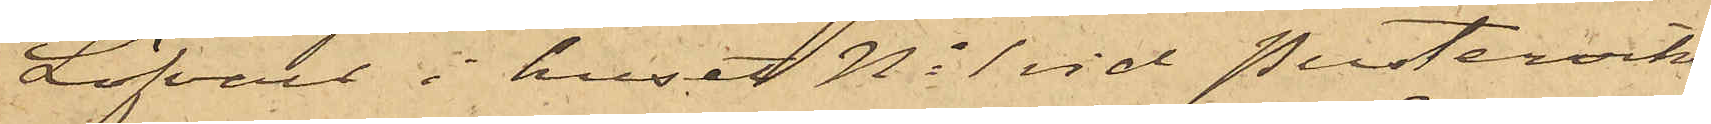Löfvall  i huset No 1 vid Pusterviks¬
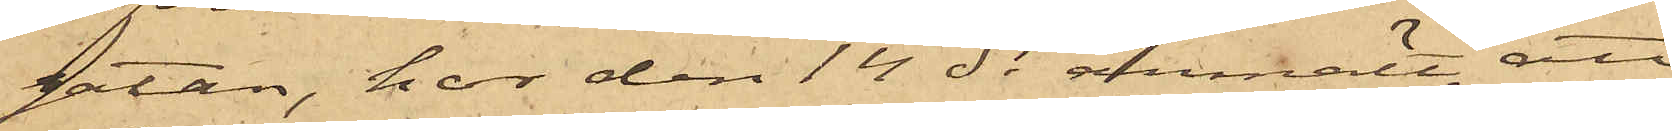gatan, har den 14 ds anmält, att
